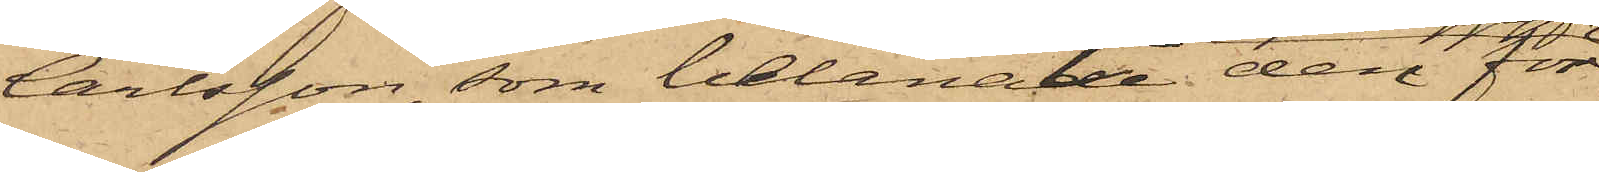Carlsson, som belånade den för
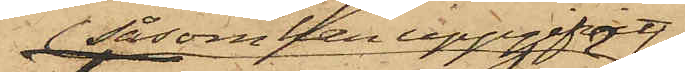 såsom han uppgifvit
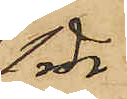1 rdr
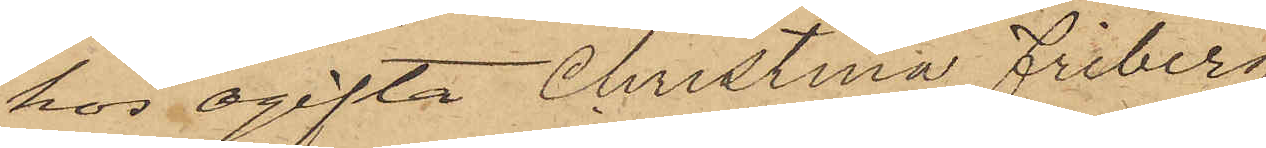hos ogifta Christina Friberg
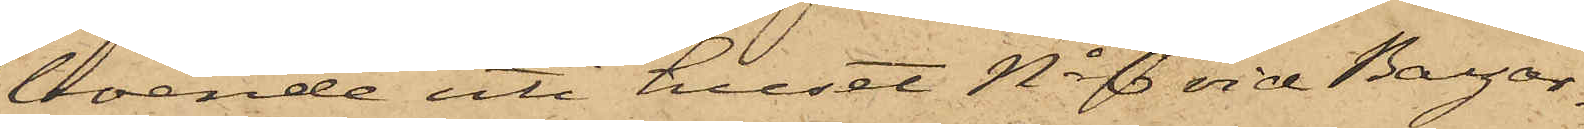boende uti huset No 6 vid Bazar¬
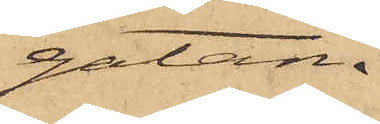gatan.
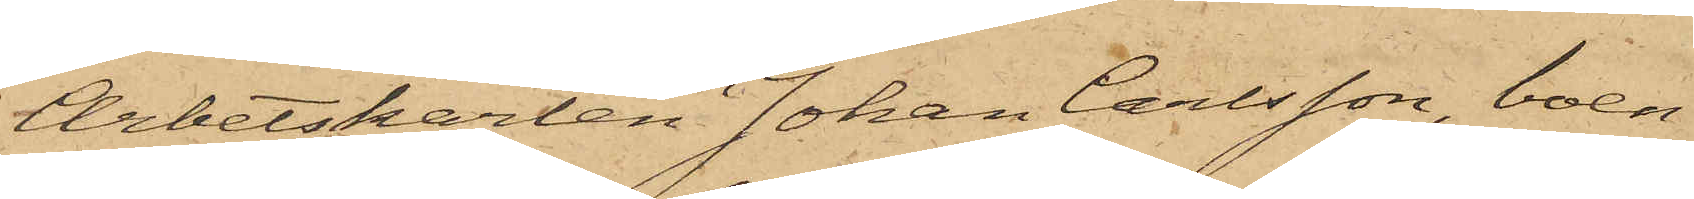Arbetskarlen Johan Carlsson, boen¬
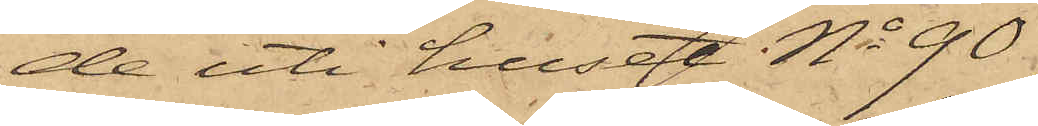de uti huset No 90
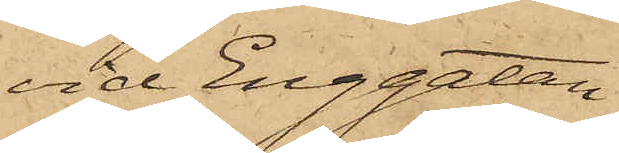vid Enggatan
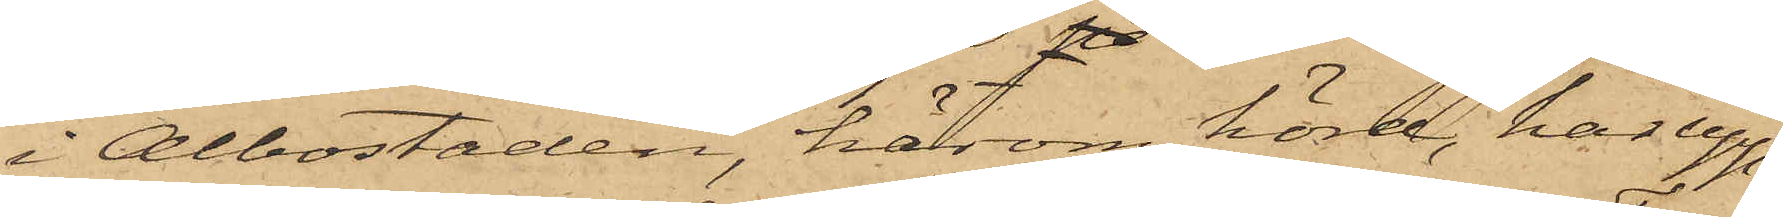i Albostaden, härom hörd, har upp¬
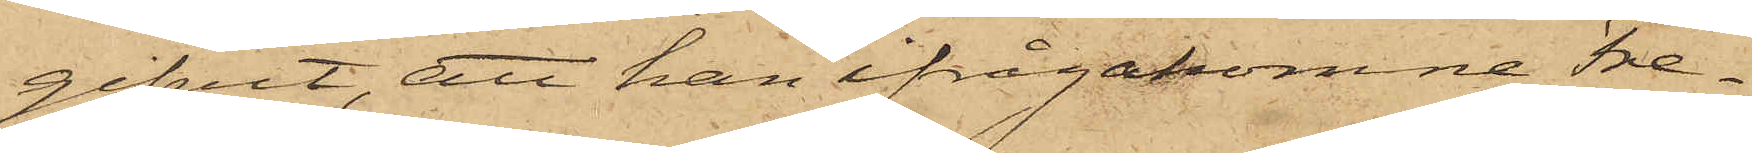gifvit, att han ifrågakomne Fre¬
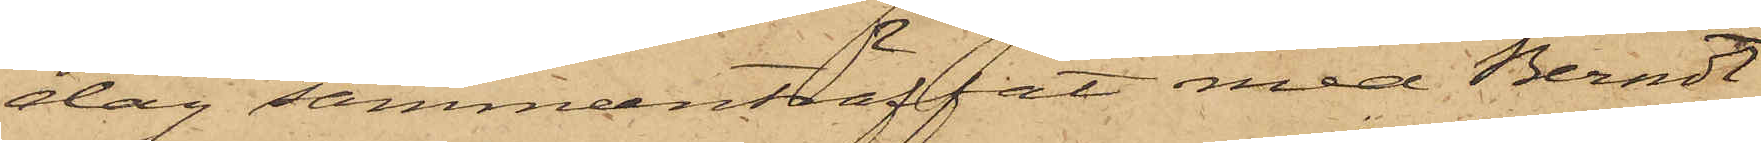dag sammanträffat med Berndt
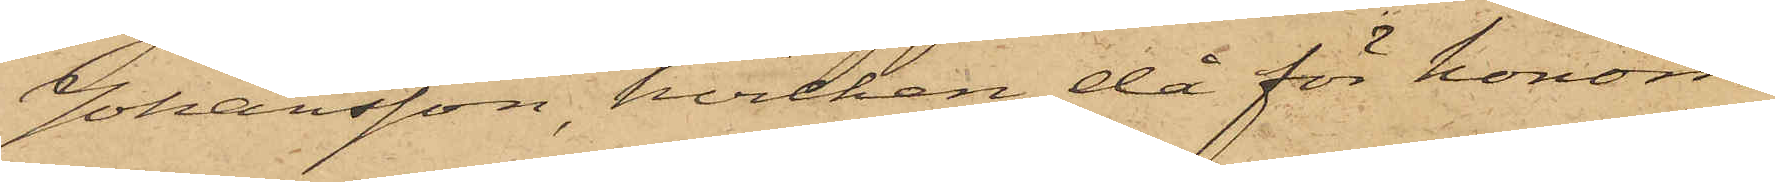Johansson, hvilken då för honom
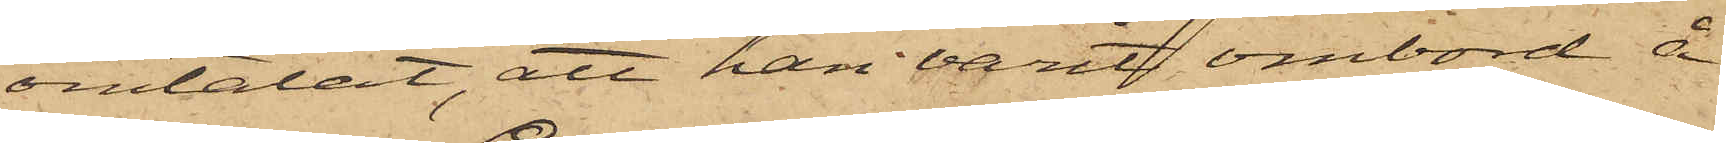omtalat, att han varit ombord å
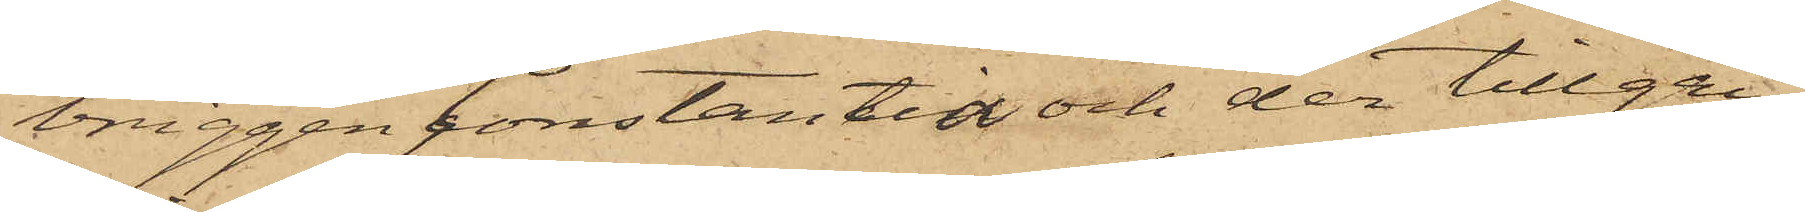briggen Constantia och der tillgri¬
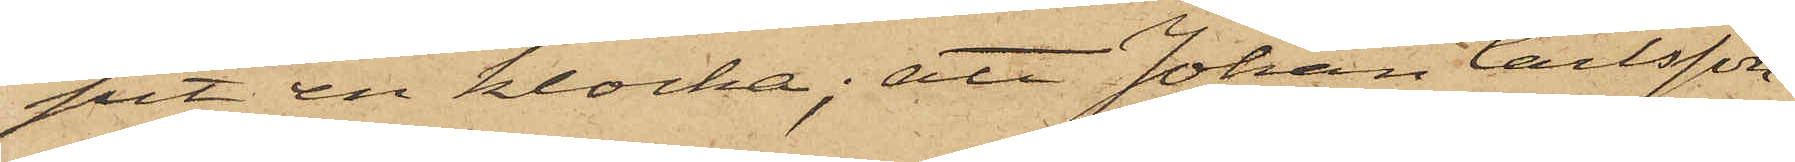pit en klocka; att Johan Carlsson
